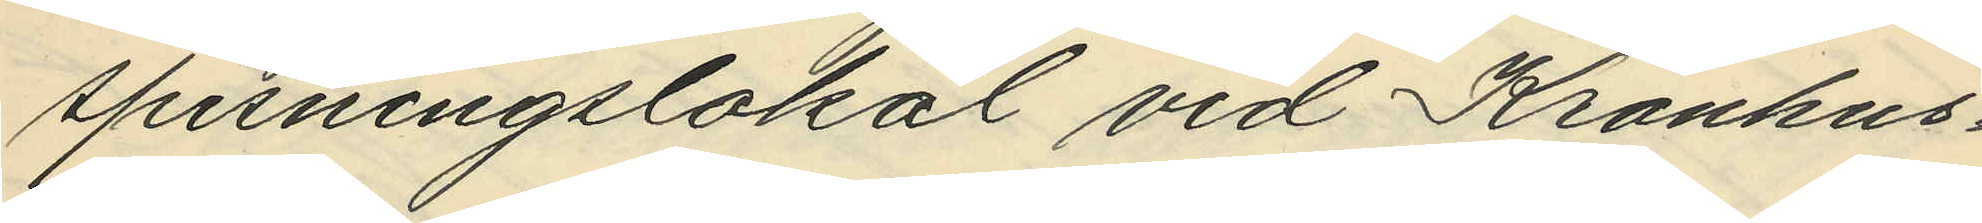spisningslokal vid Kronhus¬
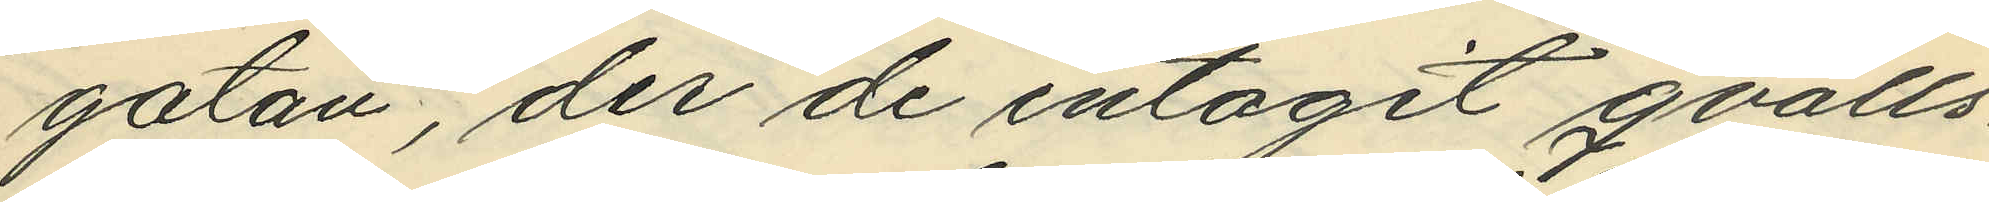gatan, der de intagit qvälls¬
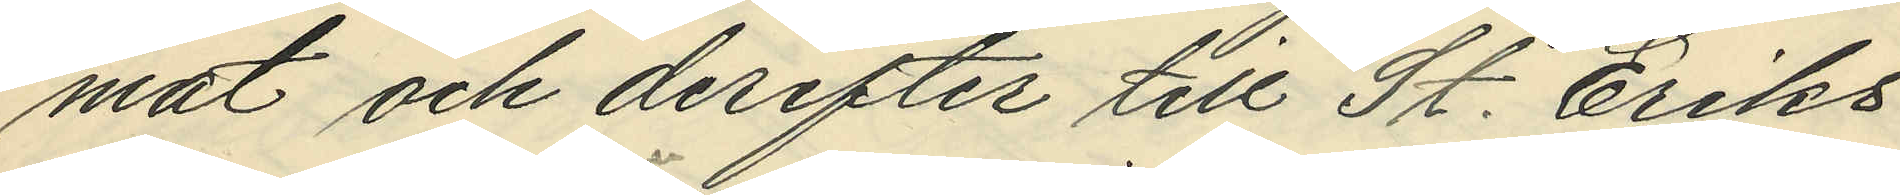mat och derefter till St. Eriks
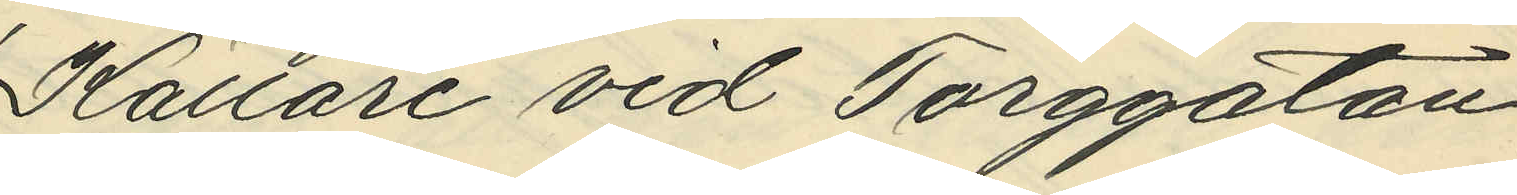Källare vid Torggatan,
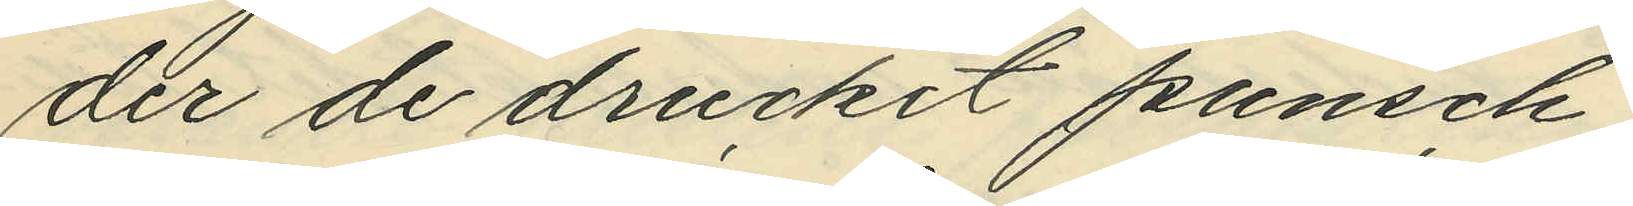der de druckit punsch;
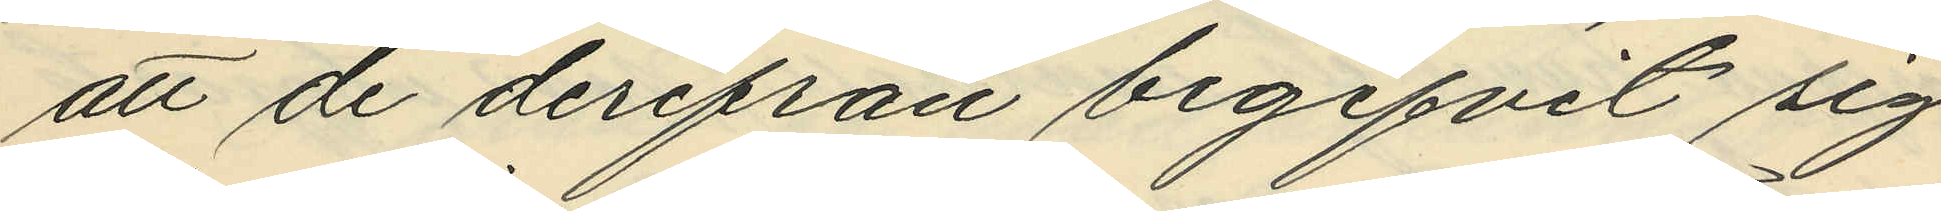att de derifrån begifvit sig
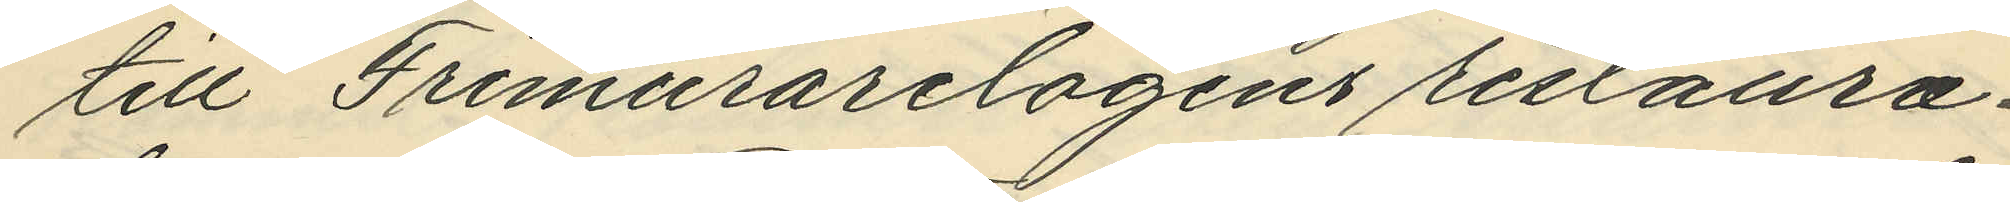till Frimurarelogens restaura¬
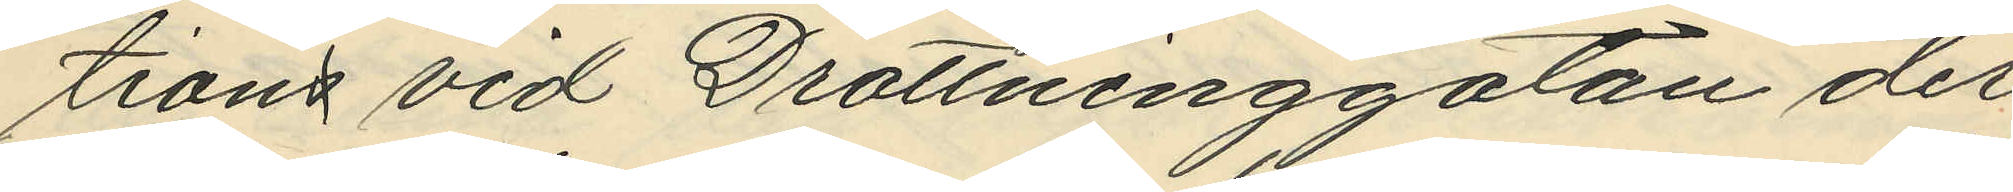tions vid Drottninggatan der
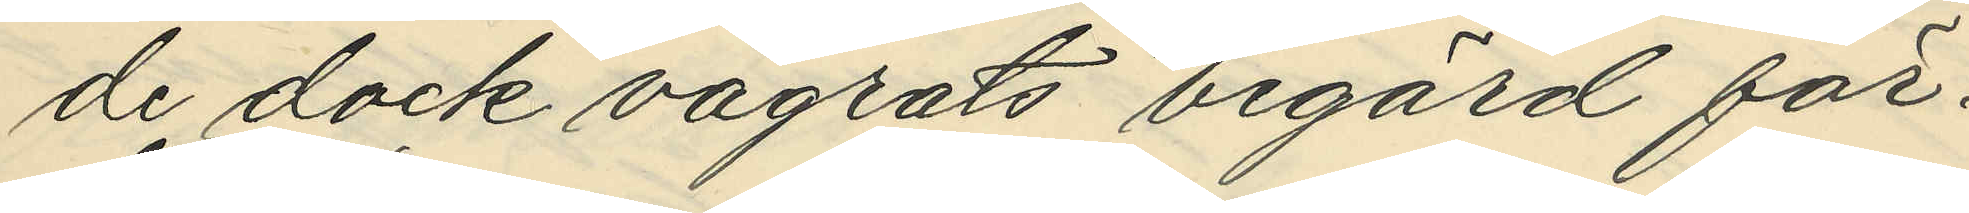de dock vägrats begärd för¬
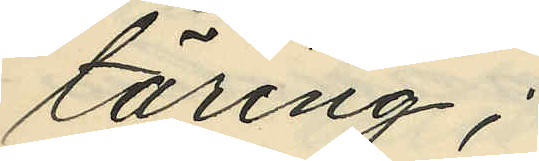täring;
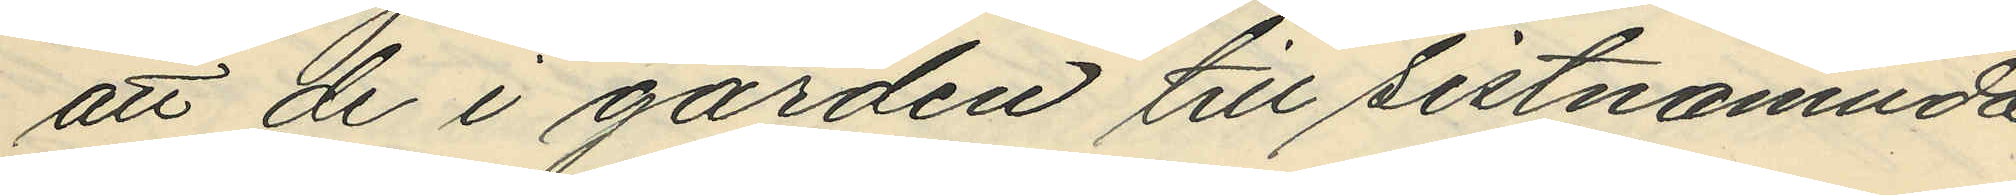att de i gården till sistnämnda
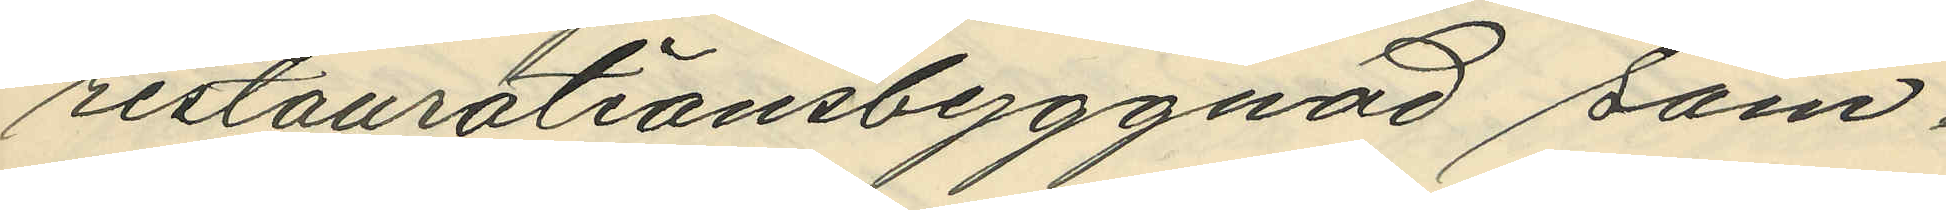restaurationsbyggnad sam¬
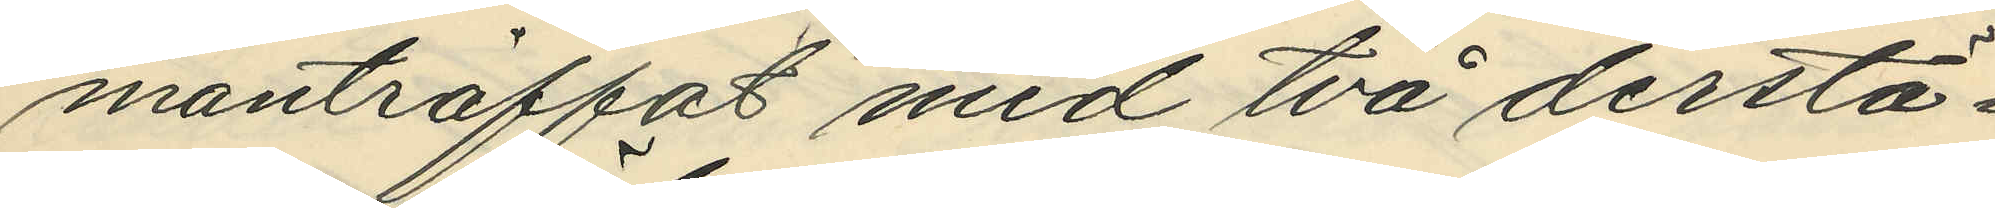manträffat med två derstä¬
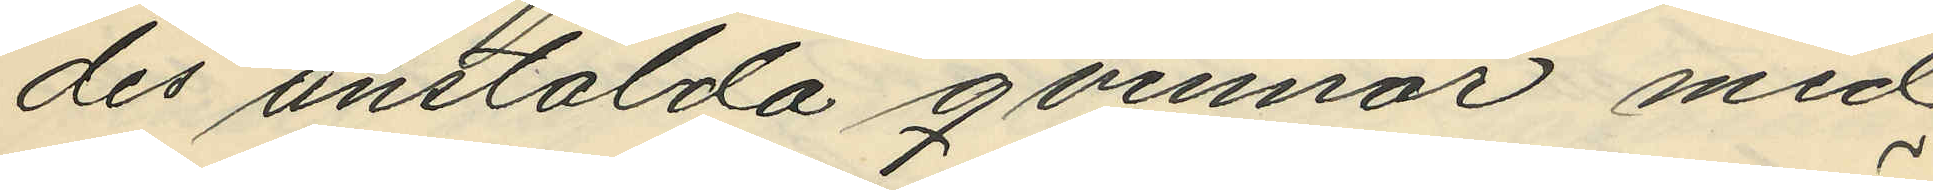des anstälda qvinnor med
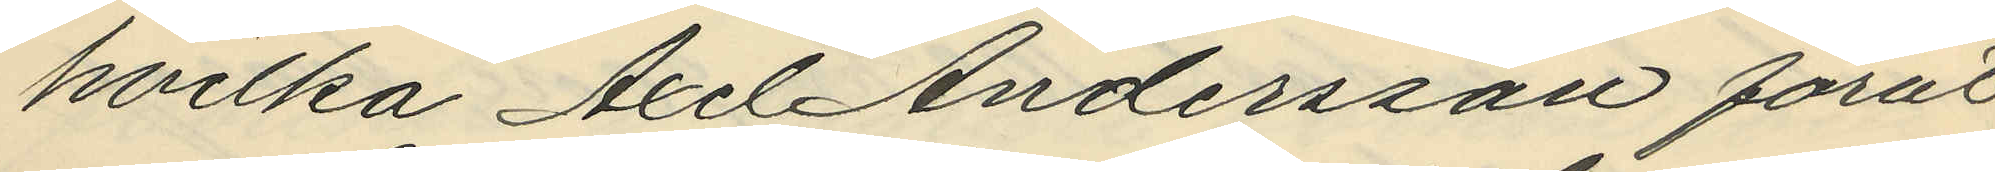hvilka Axel Andersson förut
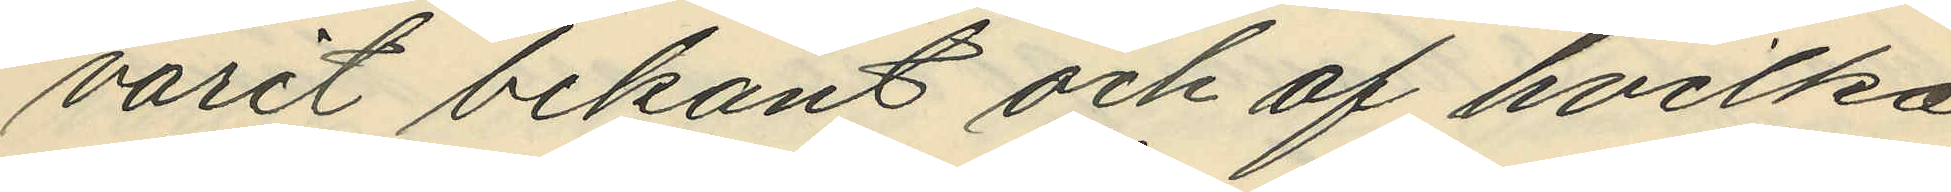varit bekant och af hvilka
